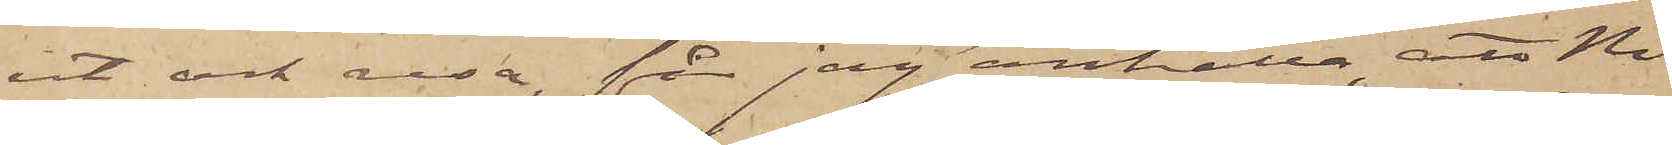ut och resa, får jag anhålla att Ni
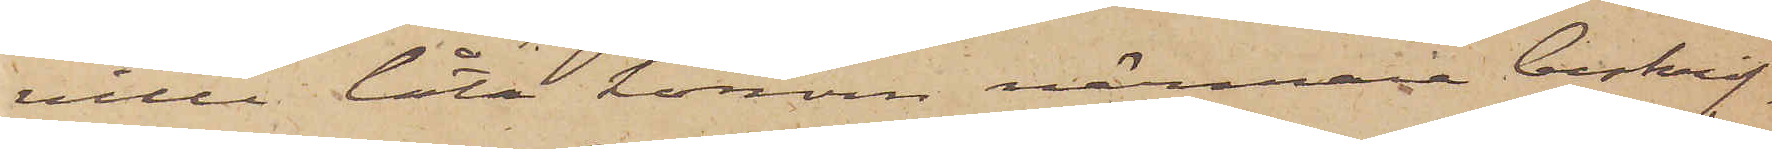ville låta honom närmare beskrif¬
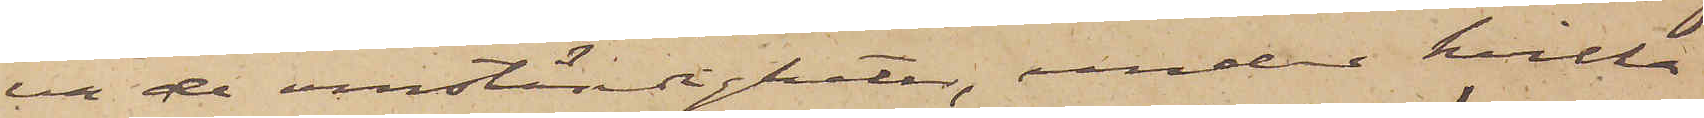va de omständigheter, under hvilka
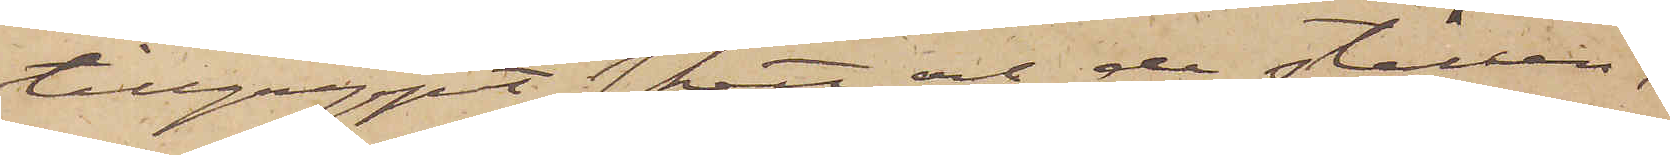tillgreppet skett och de ställen,
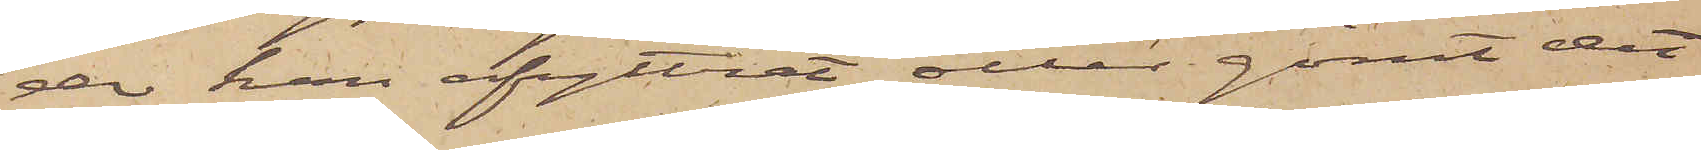der han afyttrat eller gömt det
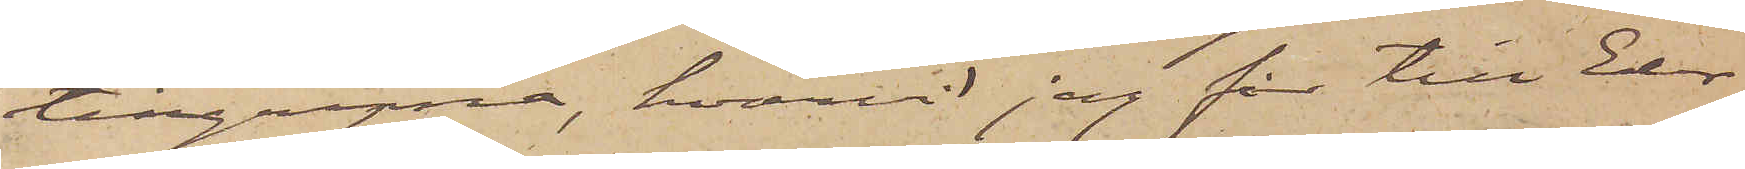tillgripne, hvarvid jag får till Eder
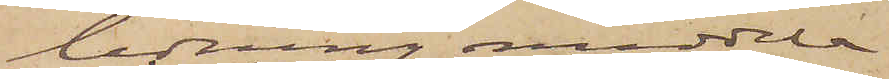ledning meddela
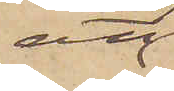att
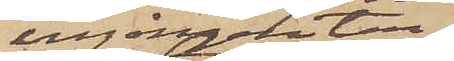ingången till
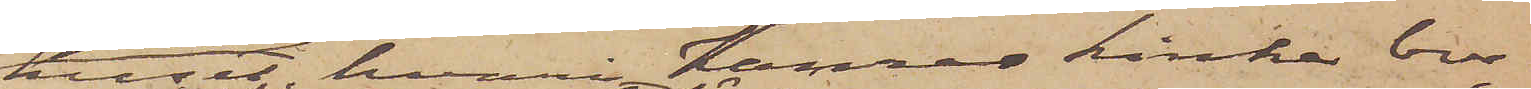huset hvari Kamrer Linke bor,
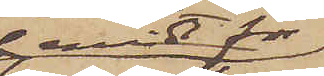midt för
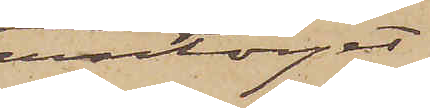Jerntorget;
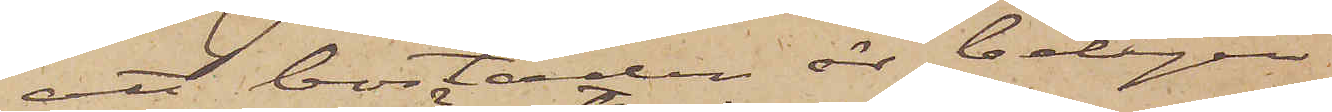att bostaden är belägen
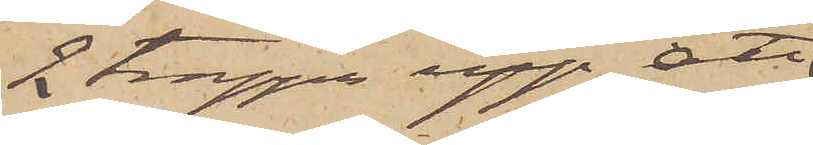2 trappor upp, att
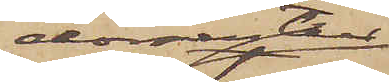dörren till
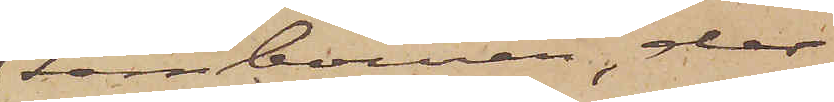tambouren, der
